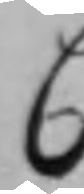C
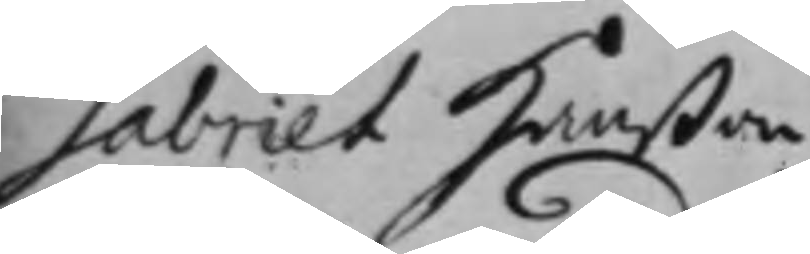Gabriel Hanßon
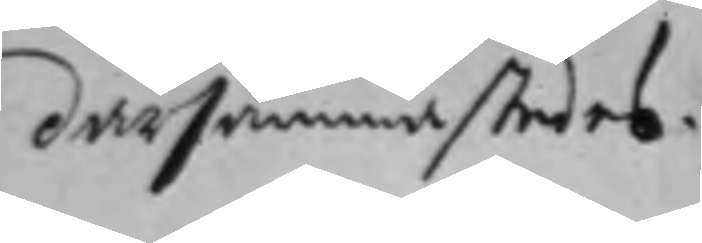därsammastedes.
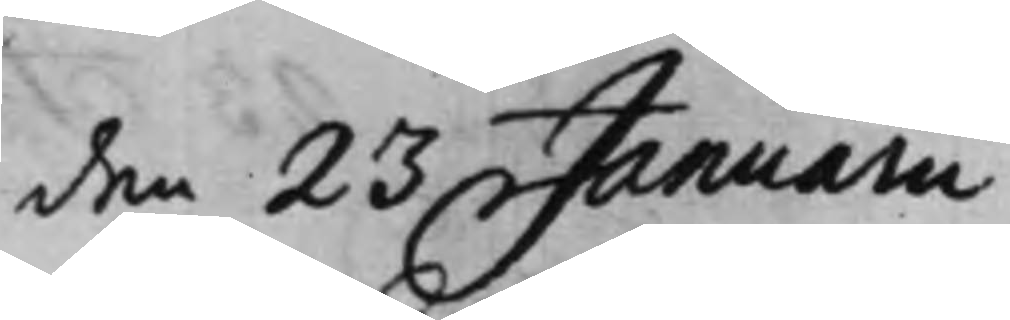den 23 Januarii
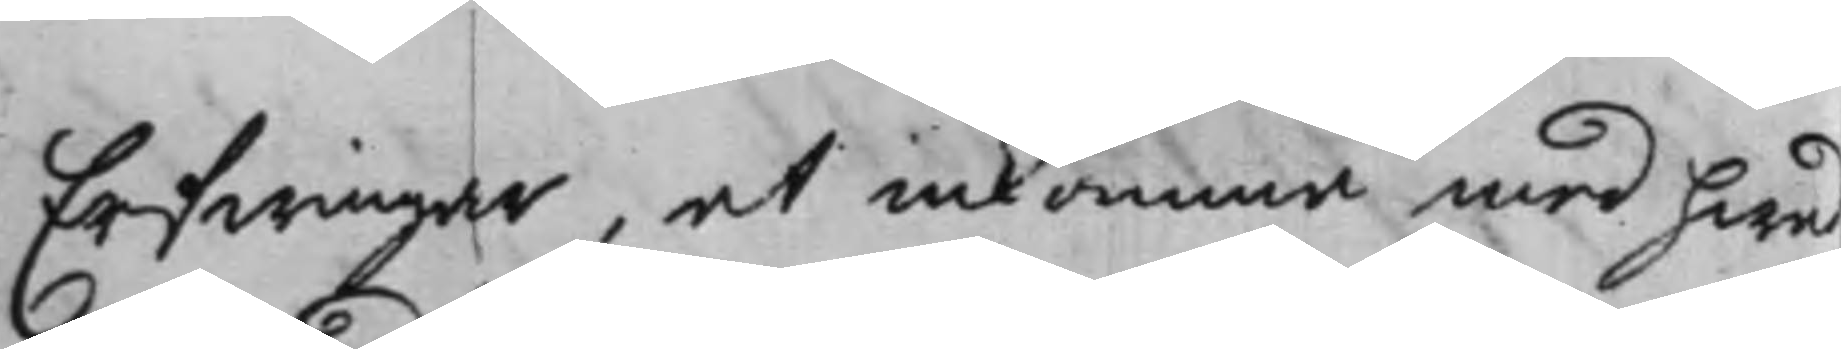Erfwingar, at inkomma med hwad
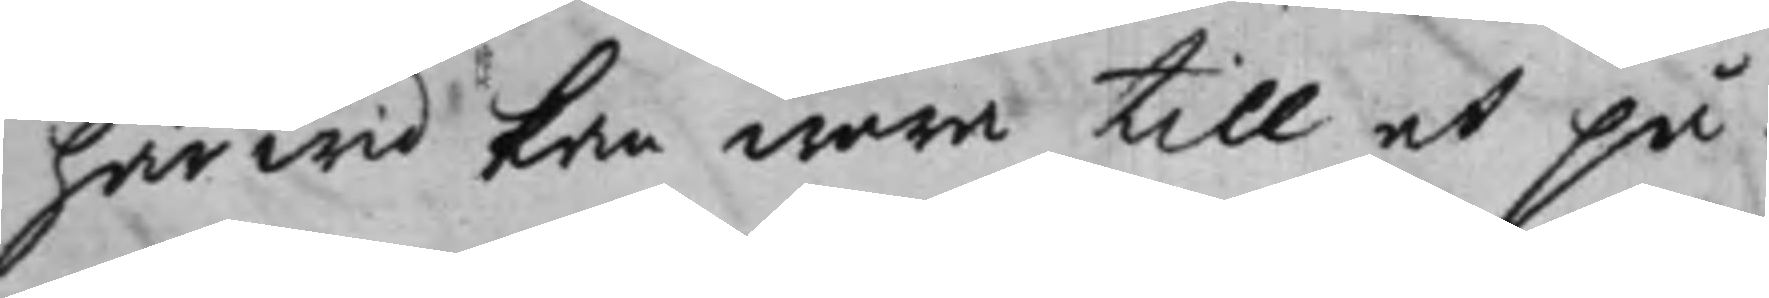härwid kan wara till at på¬
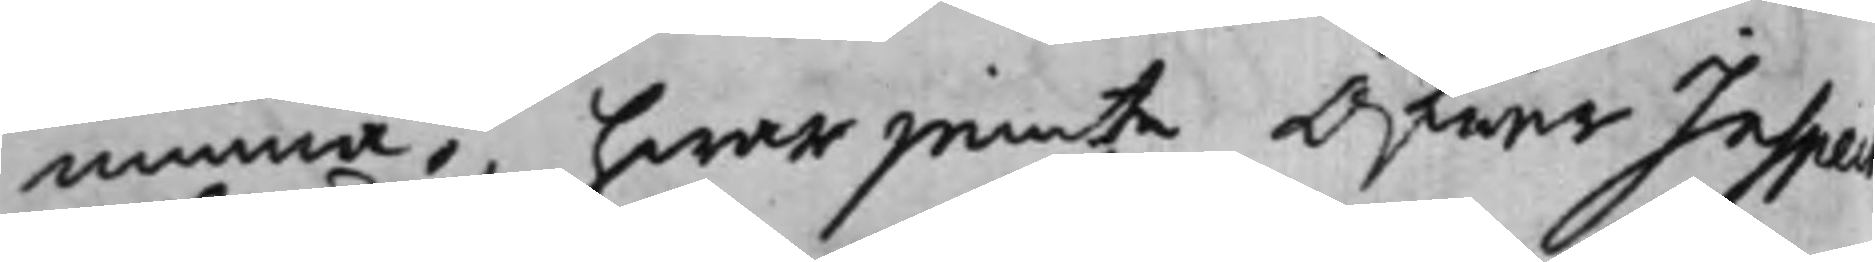minna; hwarjemte Öfwer Inspec¬
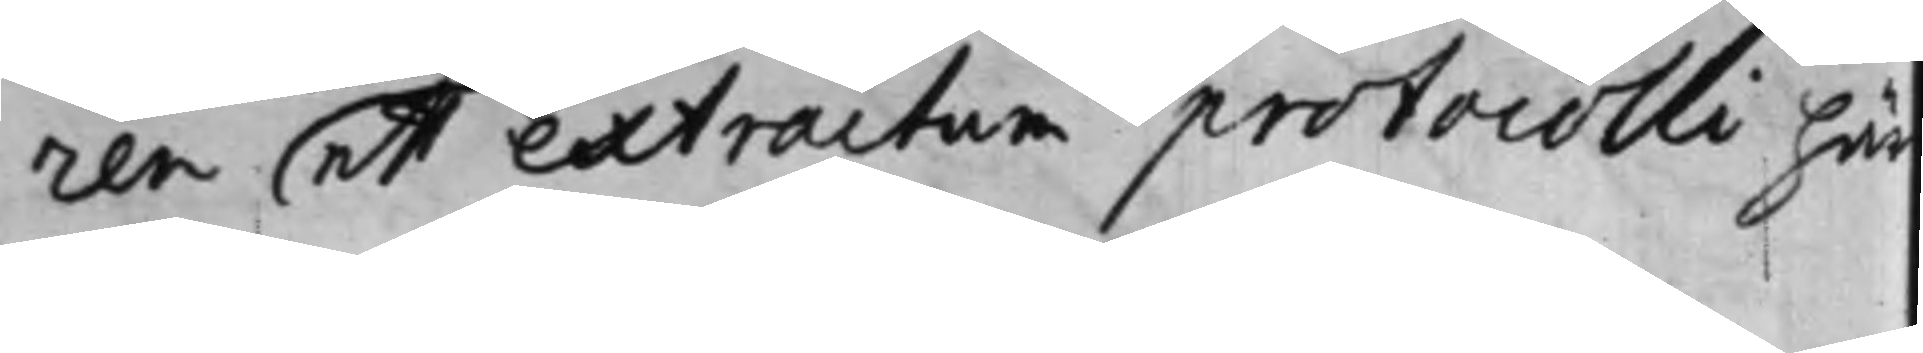ren ett extractum protocolli här
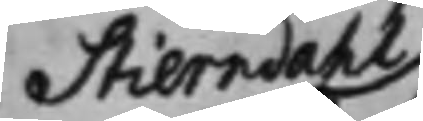Stierndahl
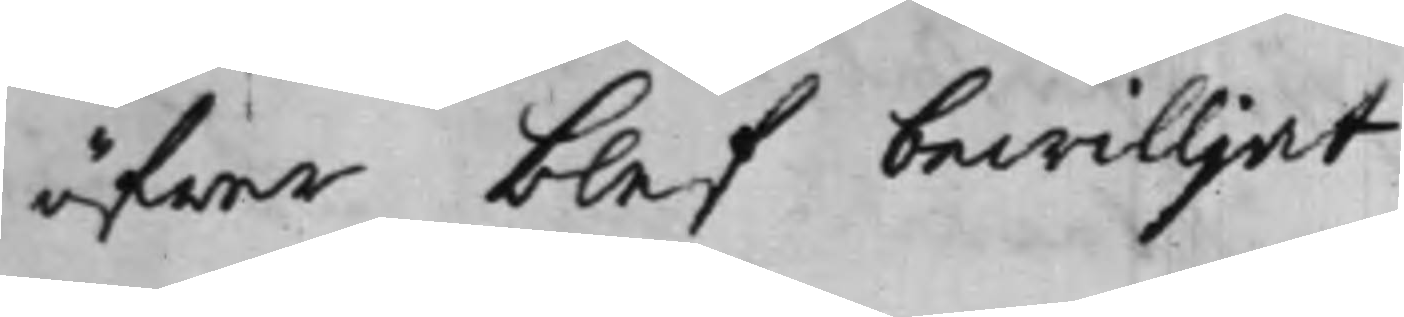öfwer blef bewilljat.
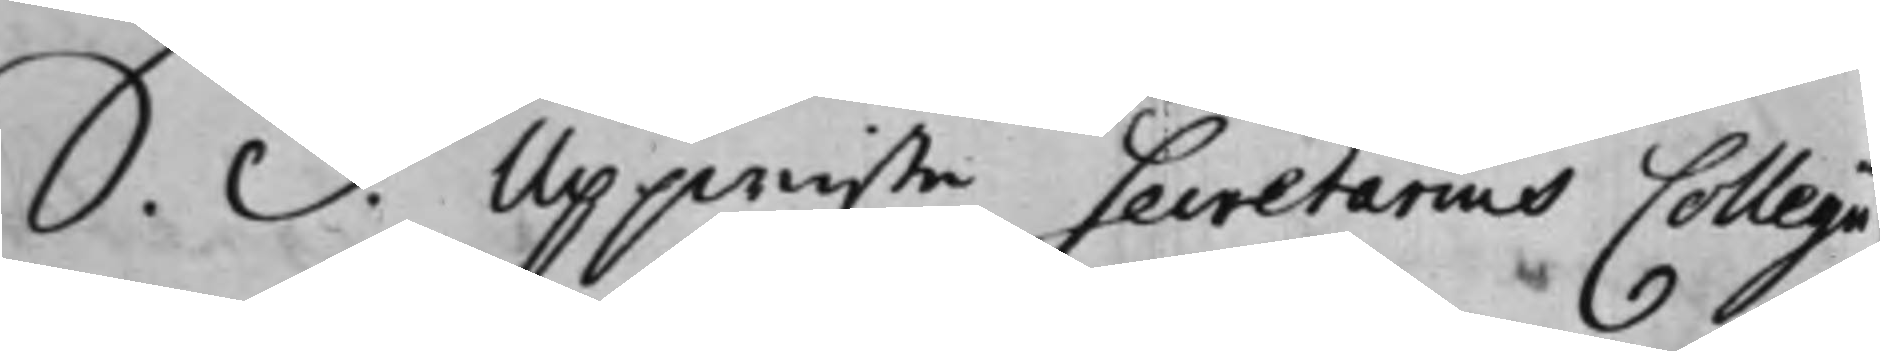S. d. Uppwiste Secretarius Collegii
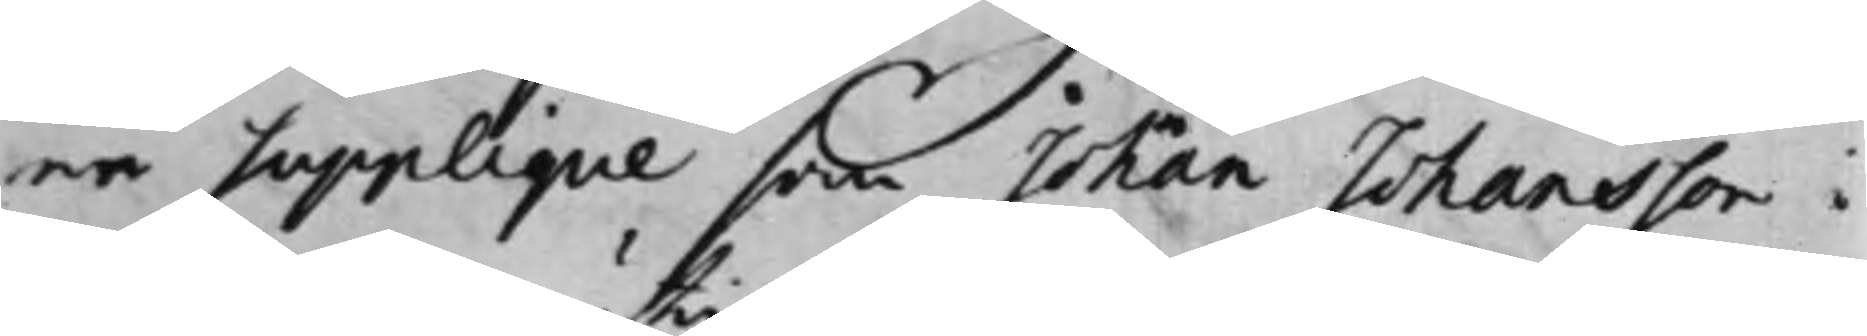en Supplique som Johan Johansson i
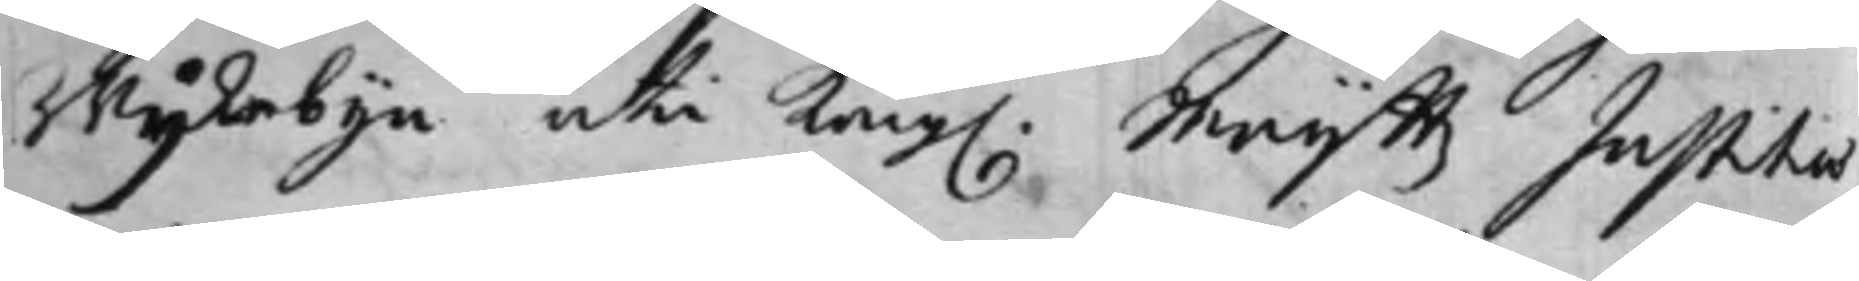Wijkebyn uti Kong. Maij.ttz Justitiae
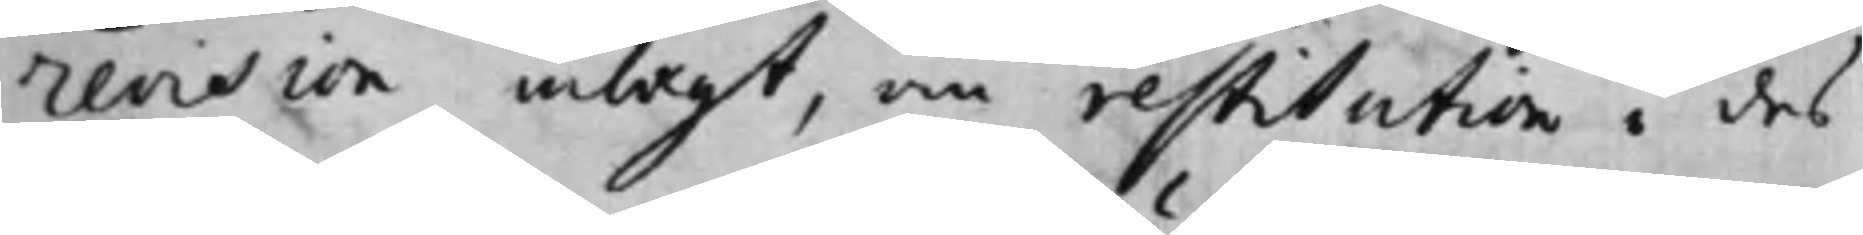revision inlagt, om restitution i des
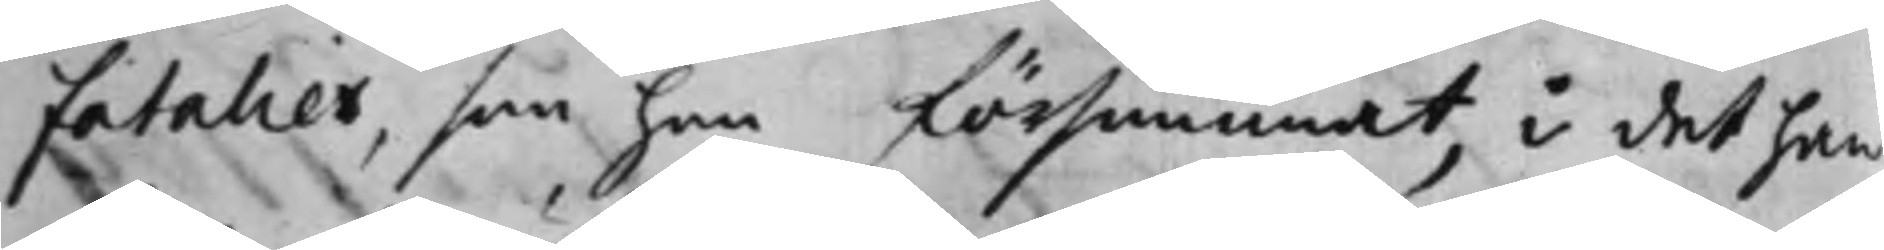fatalier, som han försummat, i det han
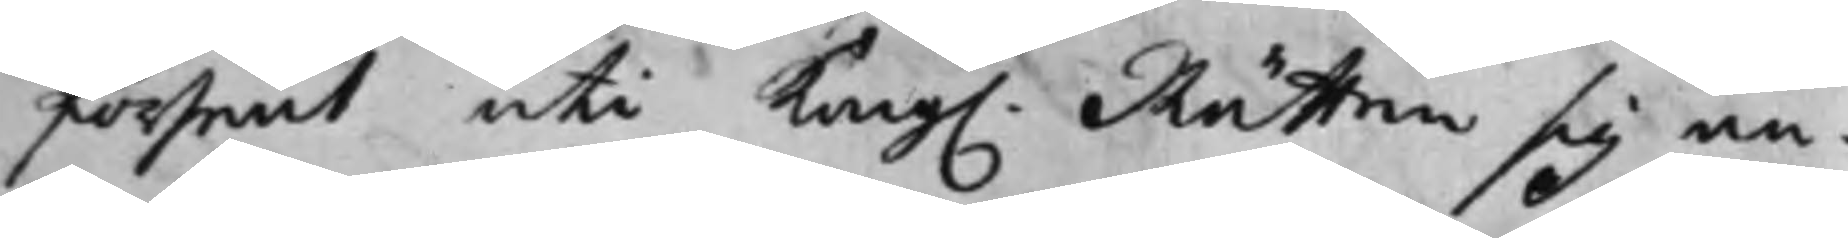försent uti Kong. Rätten sig an¬
